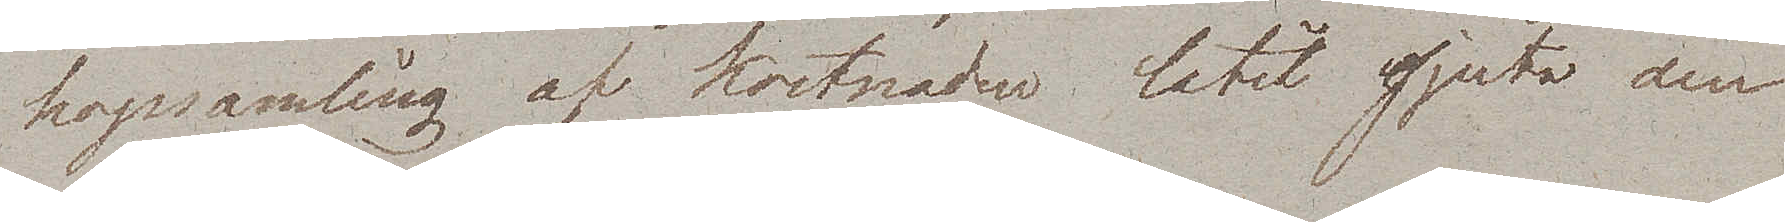hopsamling af kostnaden låtit gjuta den
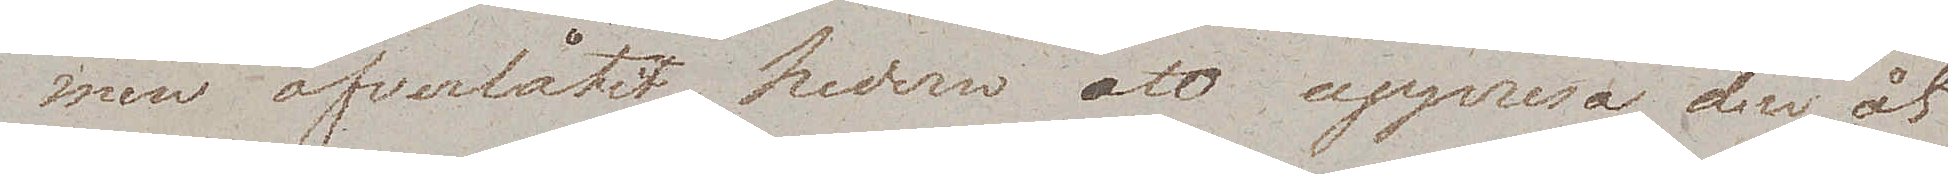men öfverlåtit hedern att uppresa den åt
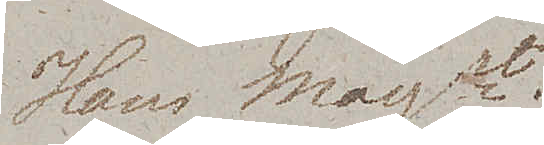Hans Majt..
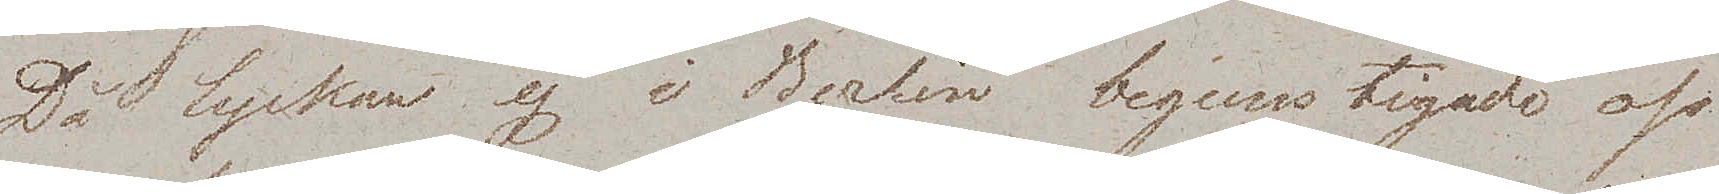Då lyckan ej i Berlin begunstigade oss
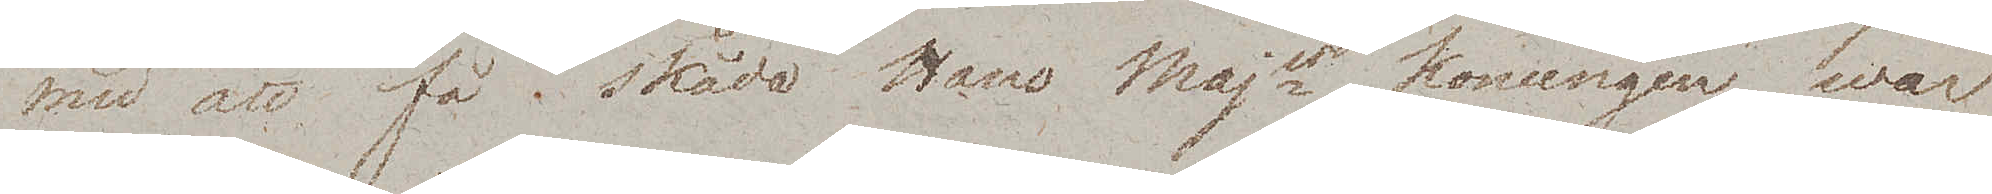med att få skåda Hans Majt Konungen, war
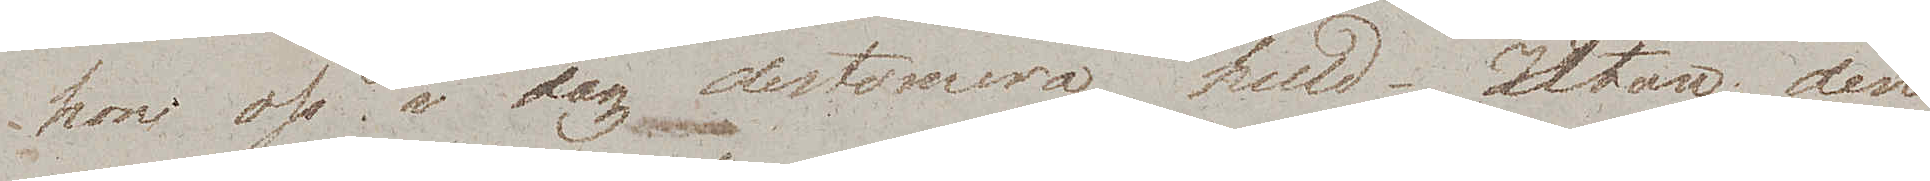hon oss i dag destomera huld. Utan den
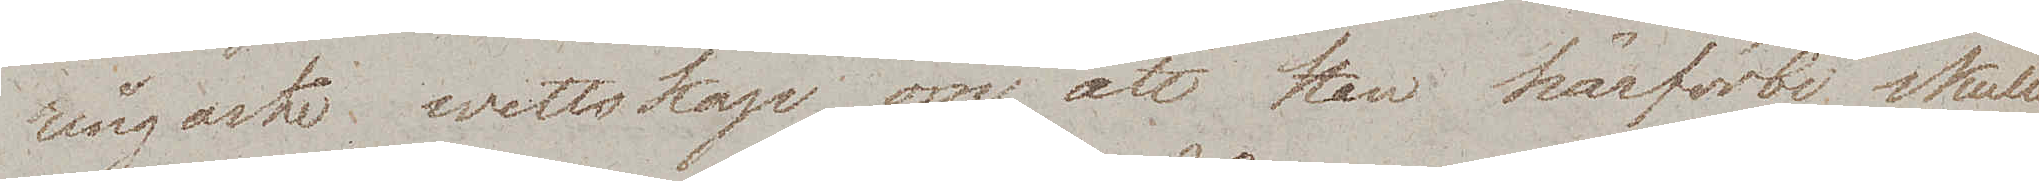ringaste wetskap om att han härförbi skulle
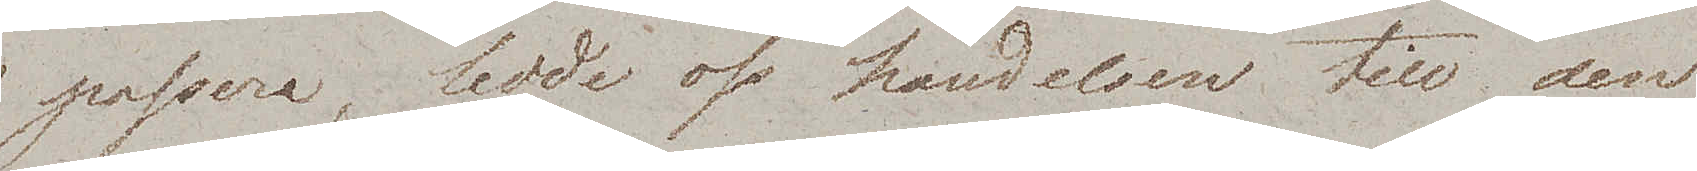passera, ledde oss händelsen till den
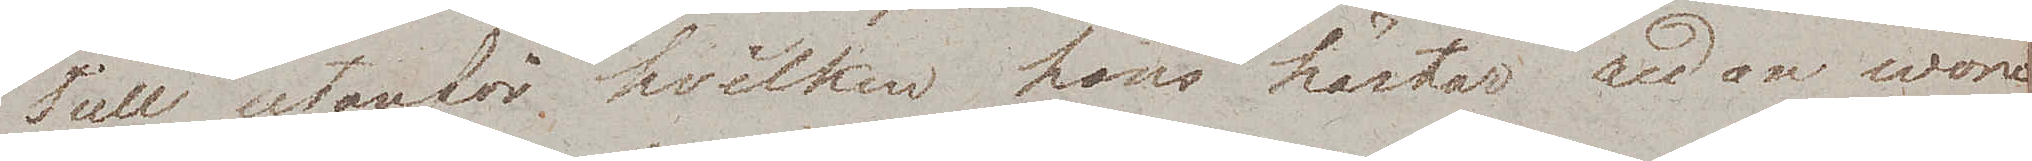Tull utanför hvilken hans hästar redan woro
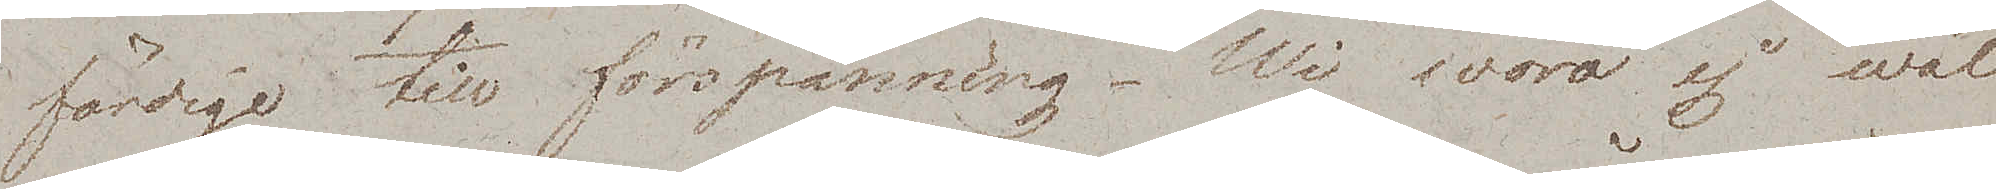färdige till förspänning. Wi woro ej wäl
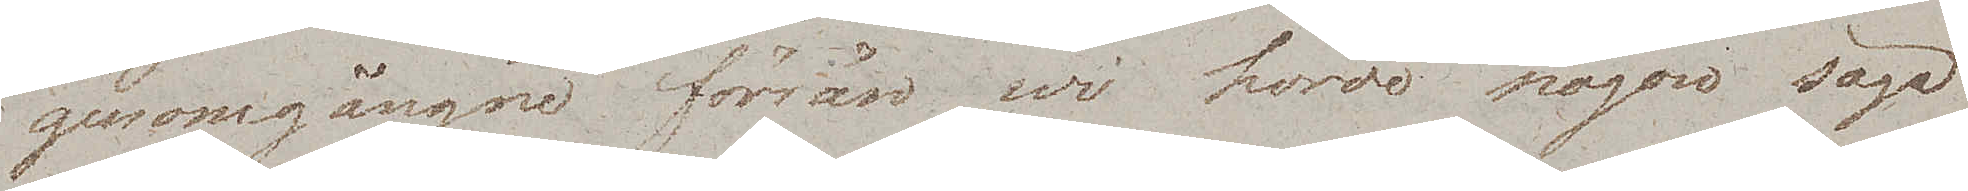genomgångne förrän wi hörde någon säga
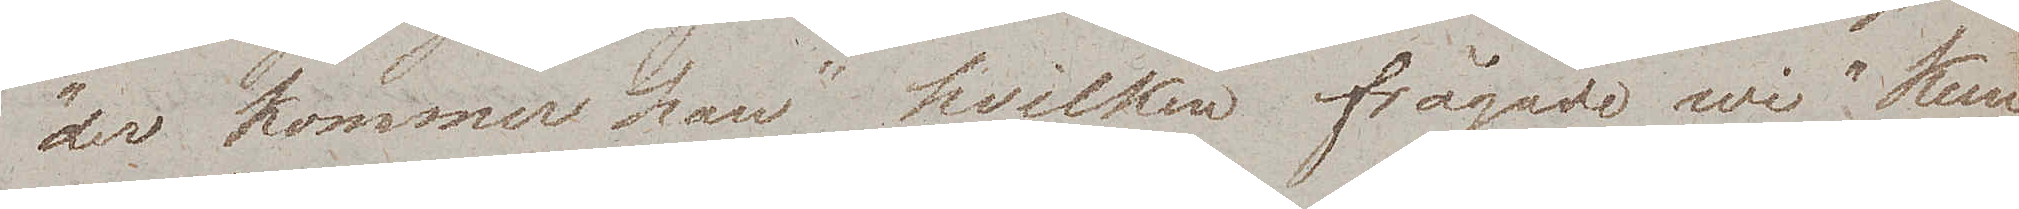"der kommer han" hvilken frågade wi "Kun¬
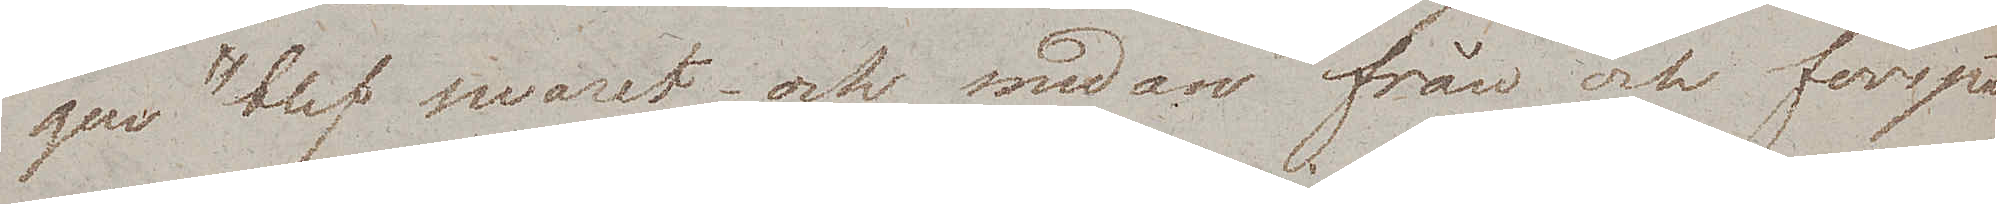gen" blev swaret och medan från och förspän¬
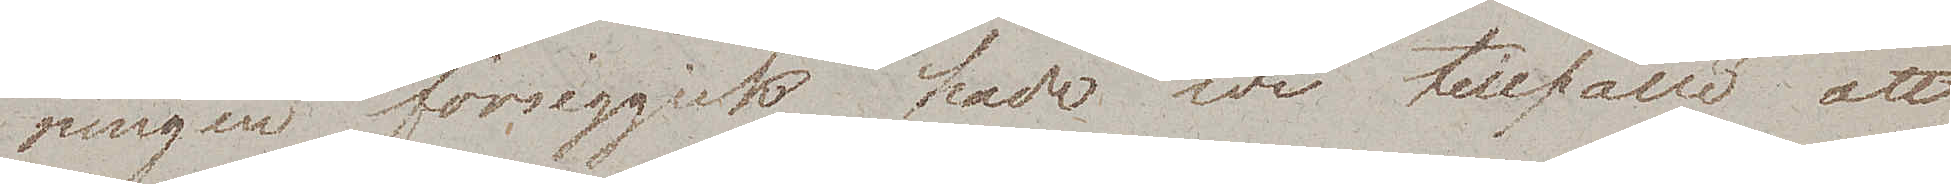ningen försiggick hade wi tillfälle att
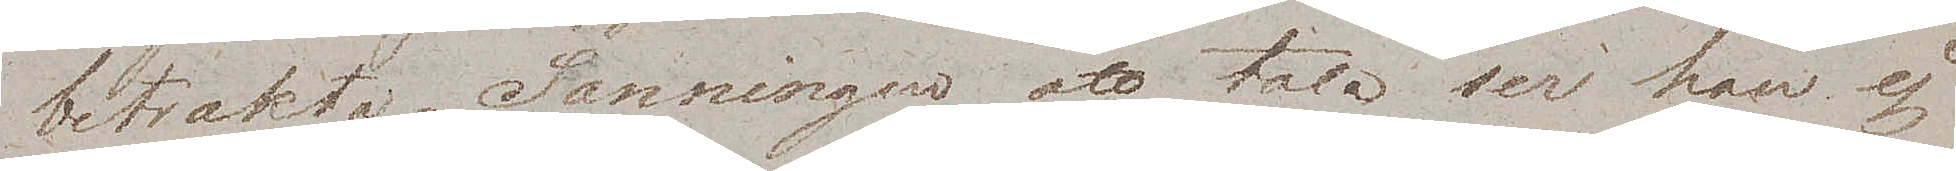betrakta. Sanningen att tala ser han ej
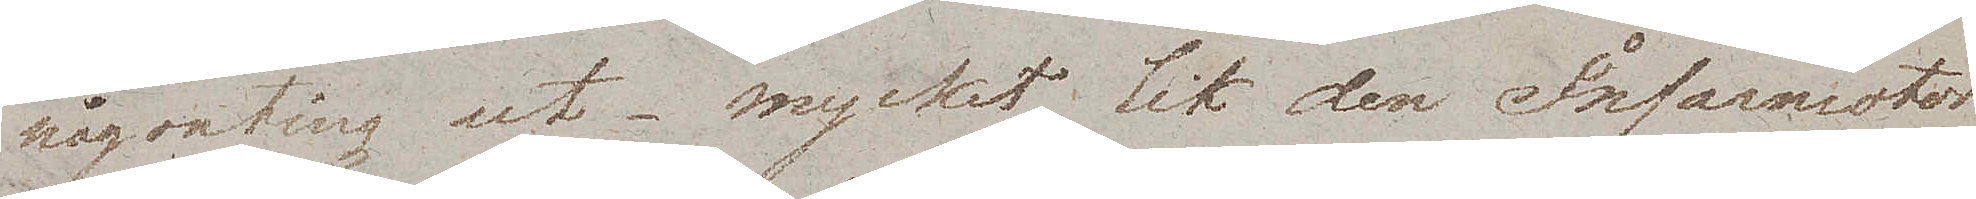någonting ut – mycket lik den Informator
